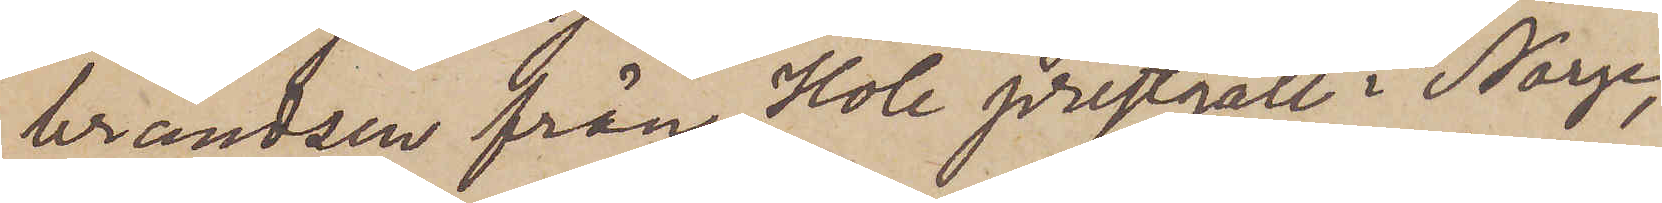brandsen från Hole prestgäll i Norge,
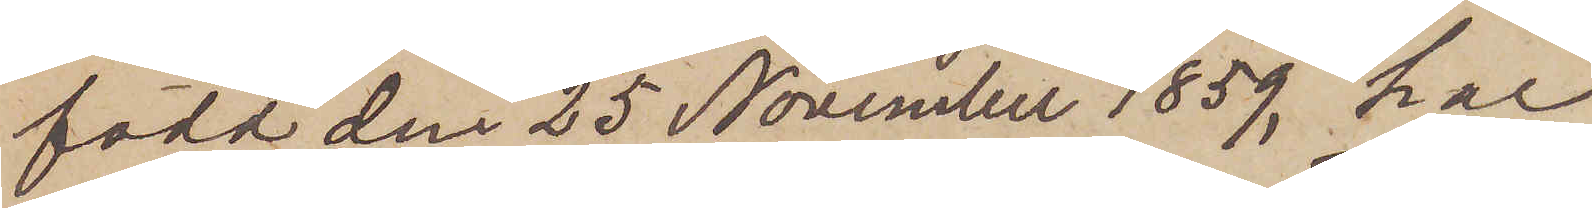född den 25 November 1859, har
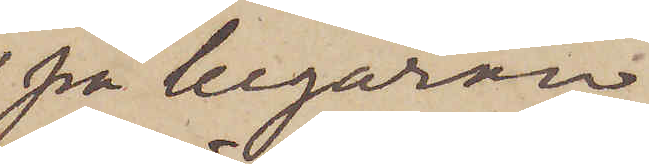på begäran
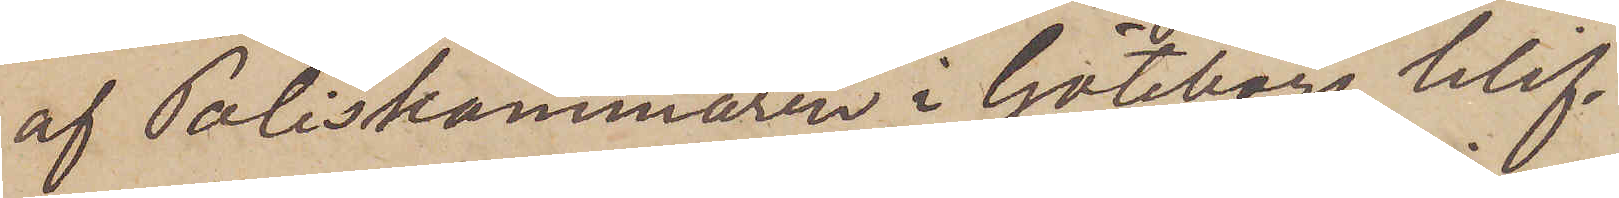af Poliskammaren i Göteborg blif¬
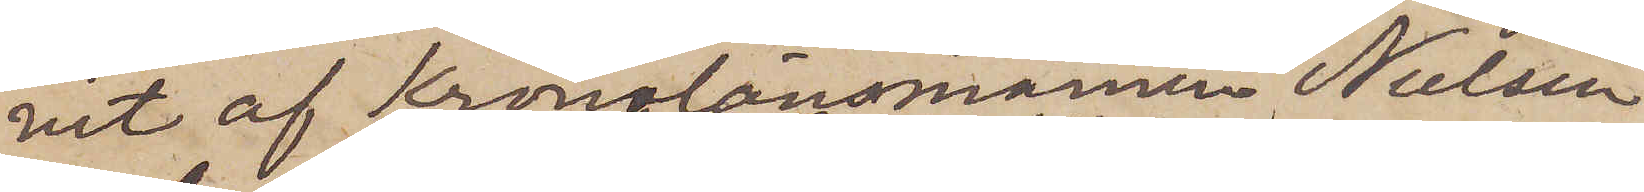vit af Kronolänsmannen Nielsen
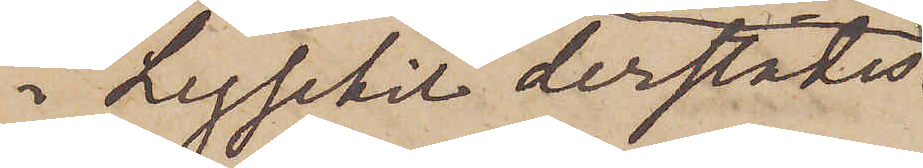i Lysekil derstädes
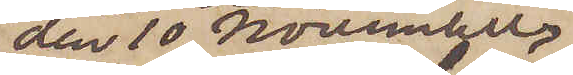den 10 November
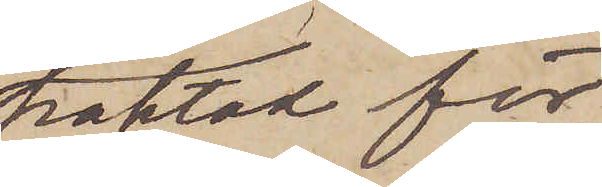häktad för
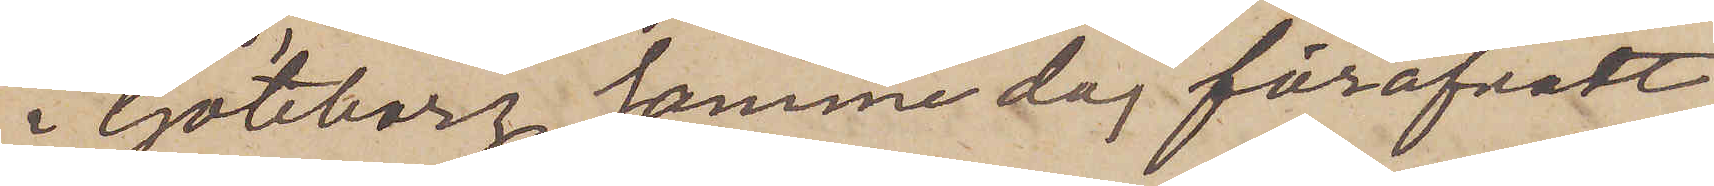i Göteborg samme dag föröfvadt
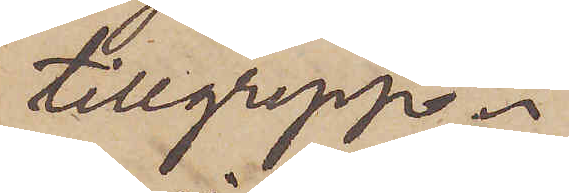tillgrepp.
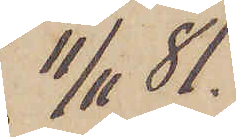11/11  81.
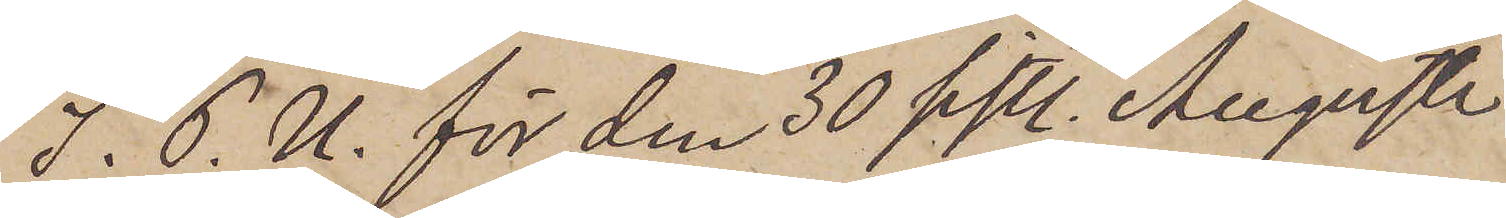I. P. U. för den 30 sistl. Augusti
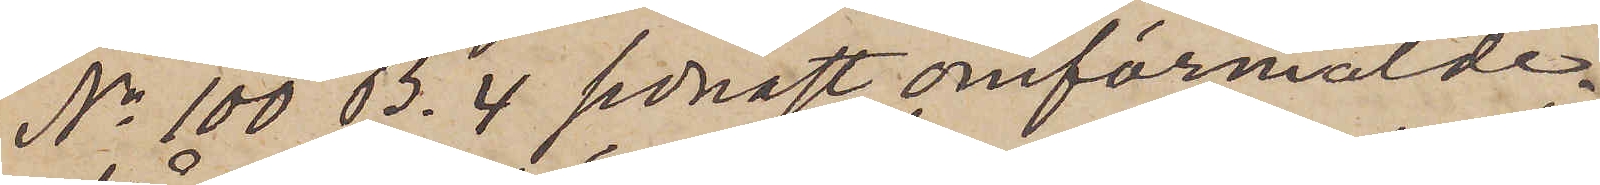No 100 B. 4 senast omförmälde
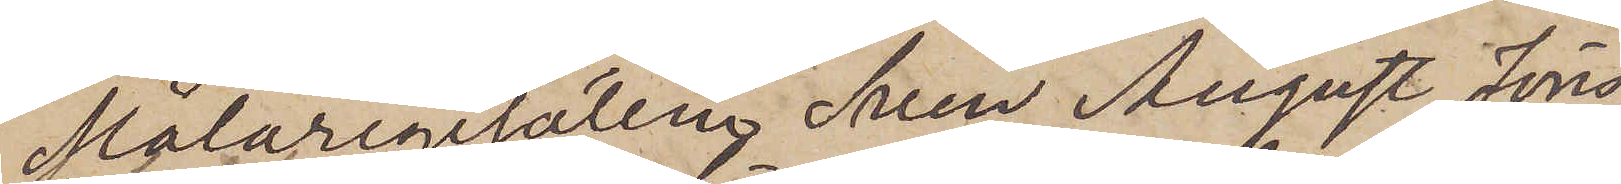Målaregesällen Sven August Jöns¬
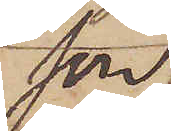son
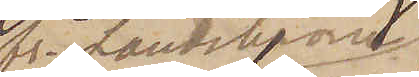fr. Landskrona
